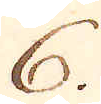6.
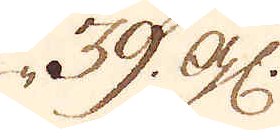39. gl:
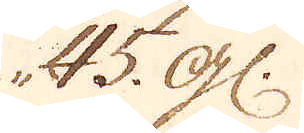45. gl:
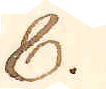8.
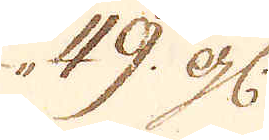49. gl:
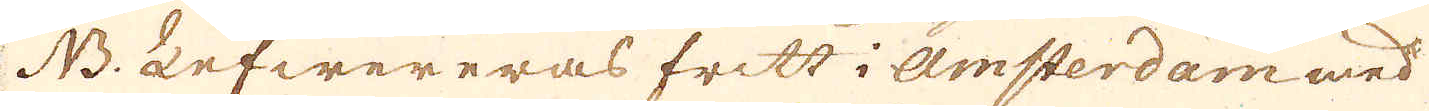NB: Lefwereras fritt i Amsterdam med
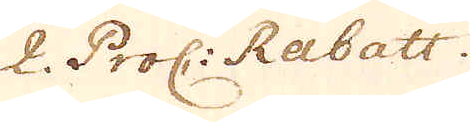2. Proc: Rabatt.
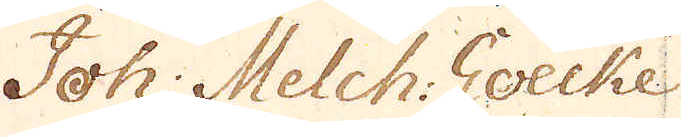Joh: Melch Goecke
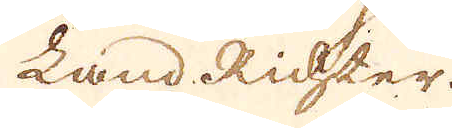Land Richster.
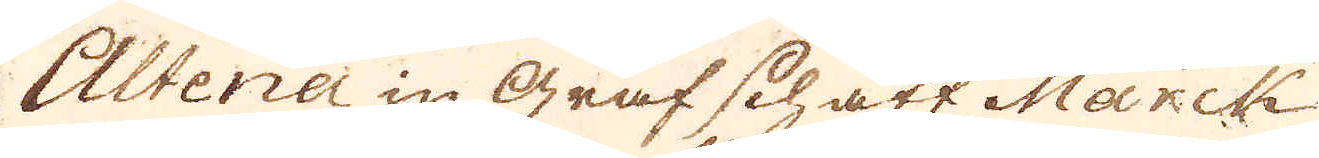Altena in Graf schaft Marck
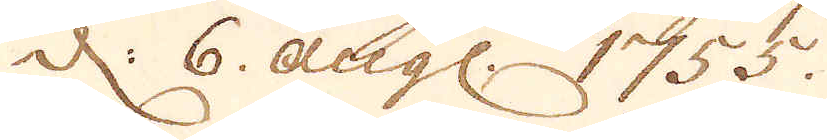d: 6. Augs: 1755.
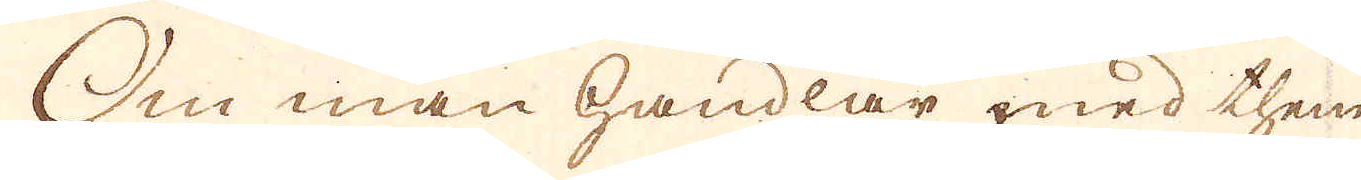Om man handlar med them
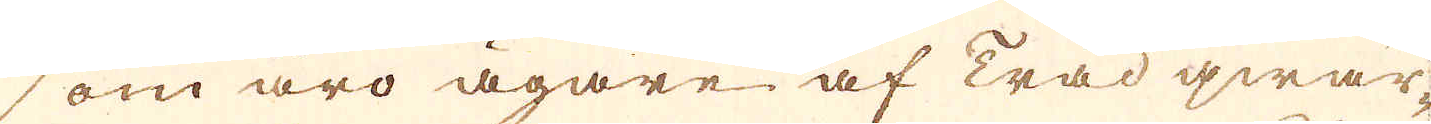som äro ägare af trådqwar-
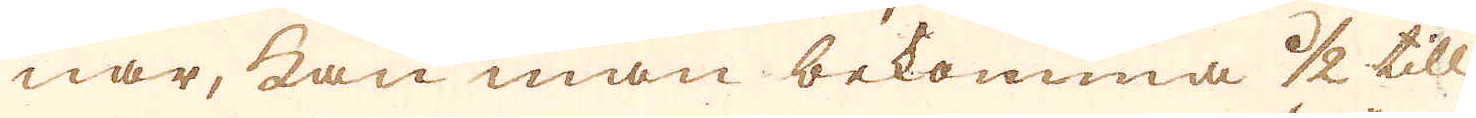nar, kan man bekomma 1/2 till
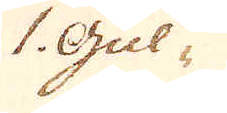1. Gul-
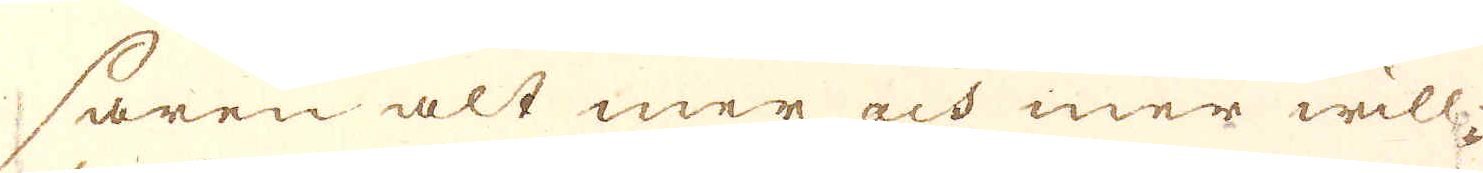saren alt mer och mer will-
